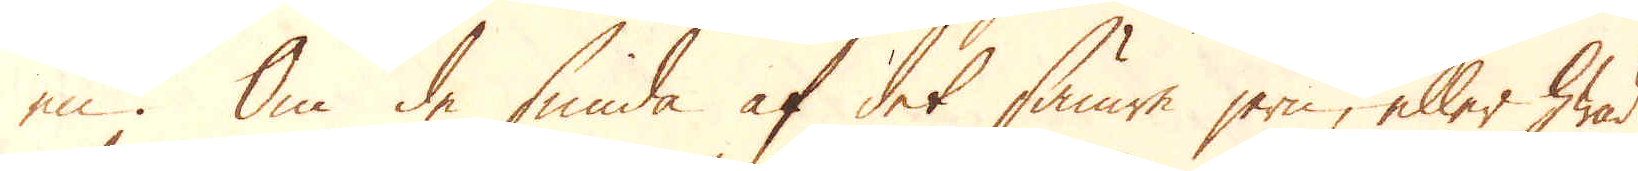en. Om de smida af det sämre jern, eller hwad
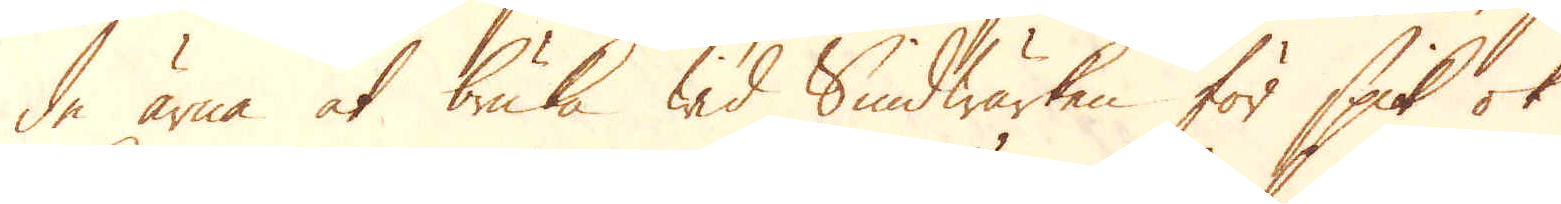de ärna at bruka wid Smidwärken för spik ok
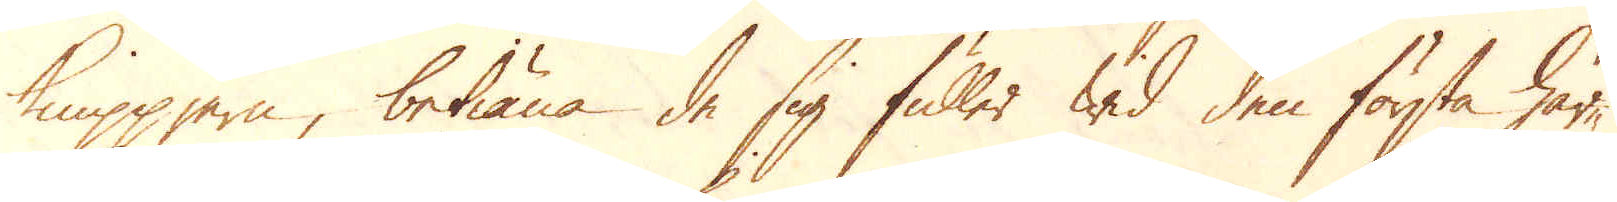Knippjern, betiäna de sig fuller wid den första här-
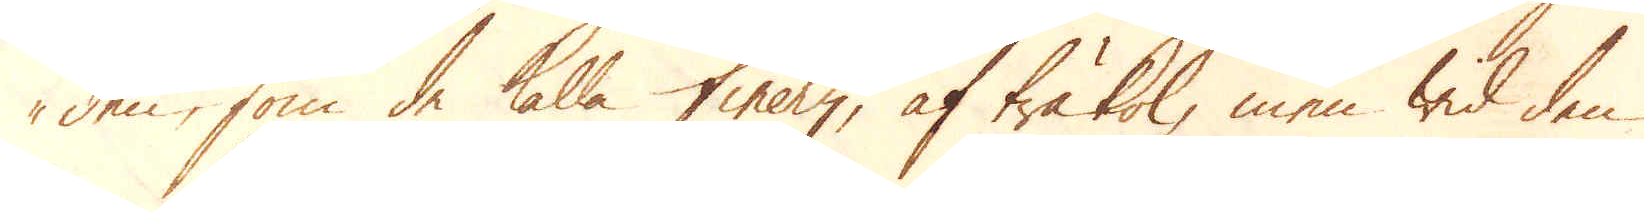den, som de kalla finery, af träkol, men wid den
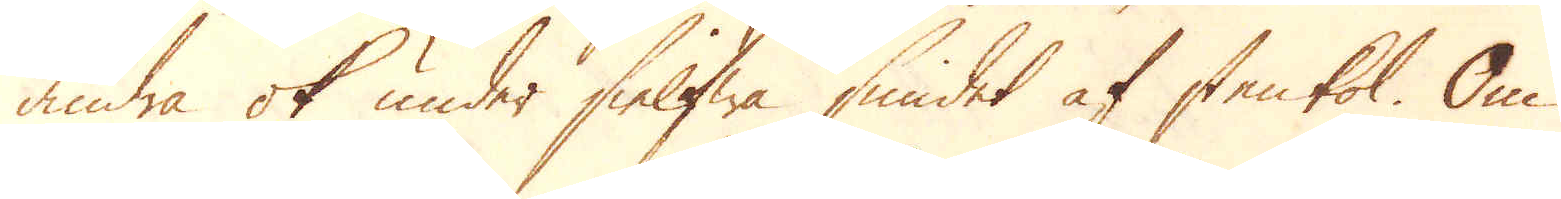andra ok under sielfwa smidet af stenkol. Om
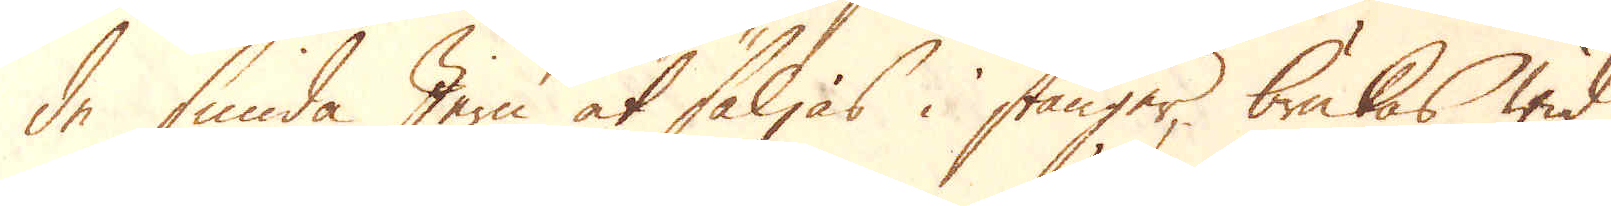de smida Jern at säljas i stänger, brukas wid
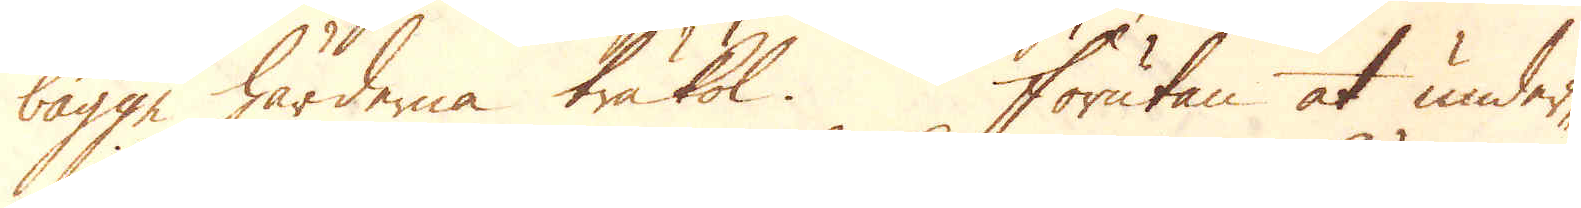bägge härdarna träkol. Förutan at under-
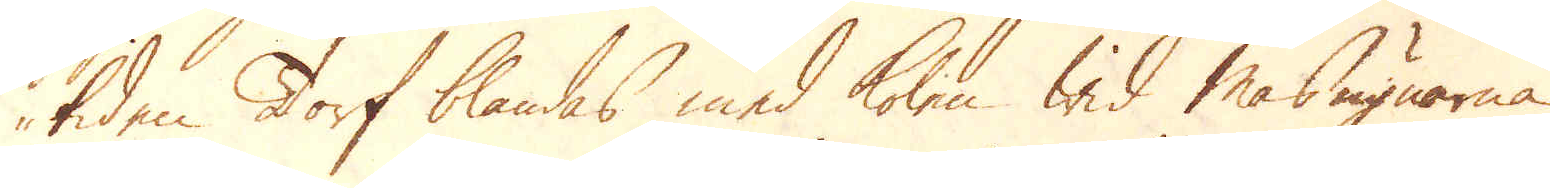tiden Torf blandas med kolen wid Masugnarna
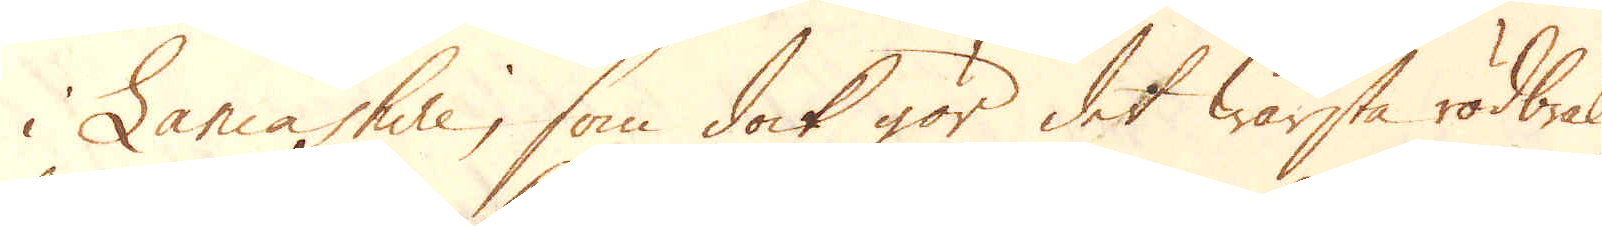i Lancashire, som dock gör det wärsta rödbräk.
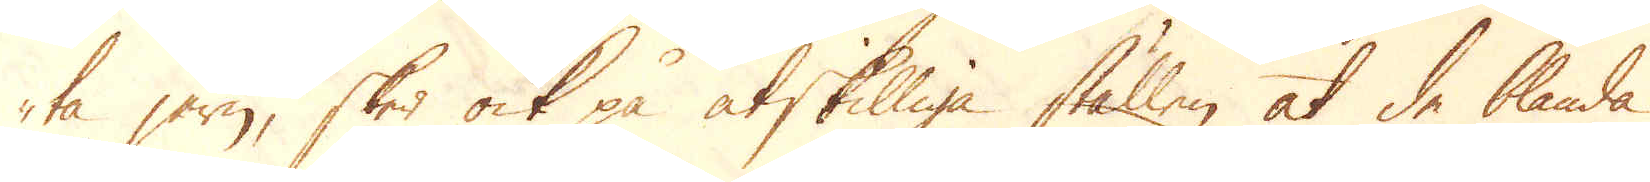ta jern, sker ock på åtskilliga ställen at de blanda
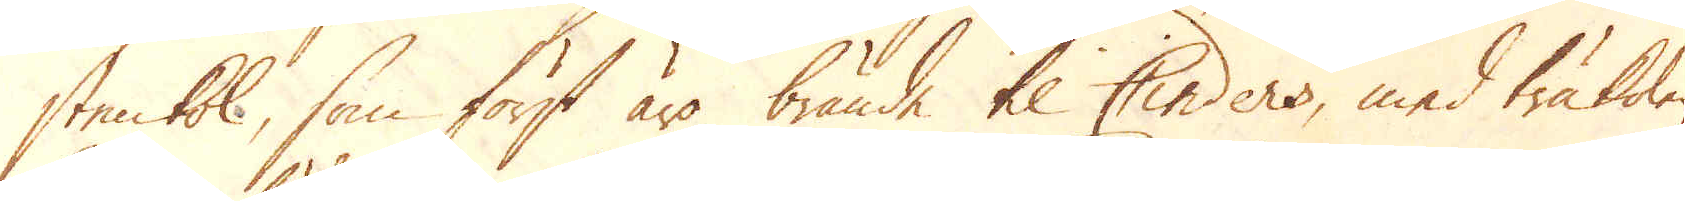stenkol, som först äro brände til Cinders, med träkolen,
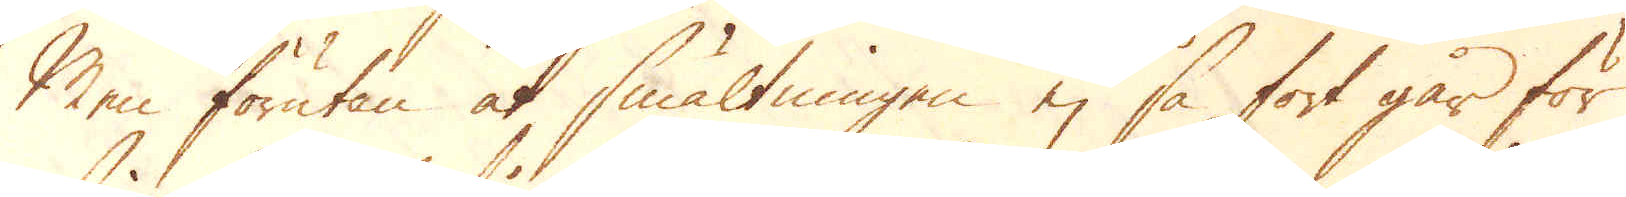Men förutan at smältningen ej så fort går för
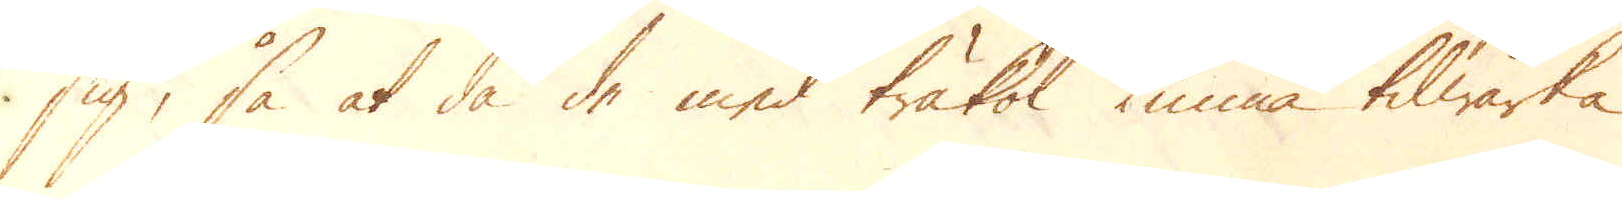sig, så at då de med träkol kunna tilwärka
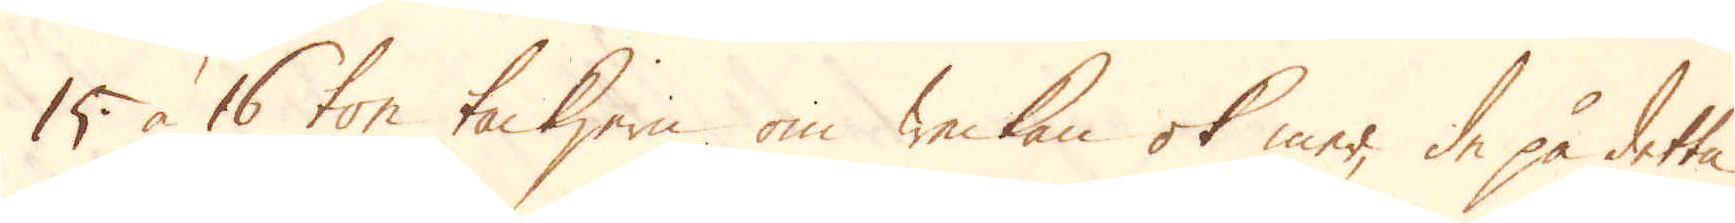15 à 16 ton tackjern om weckan ok mer, de på detta
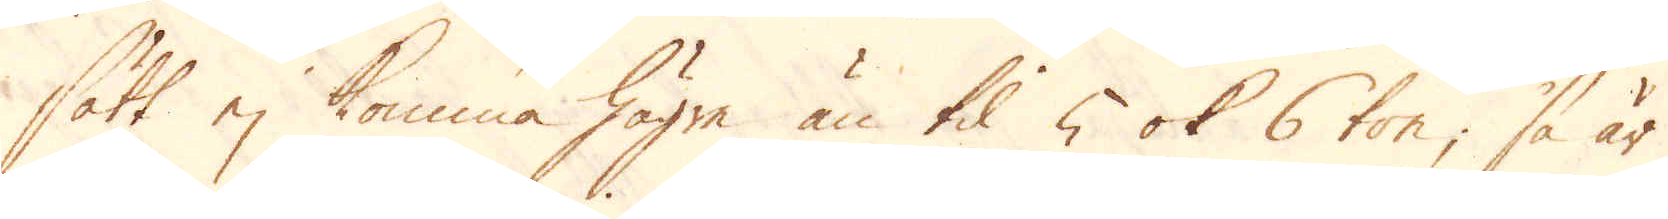sätt ej komma högre än til 5 ok 6 ton; så är
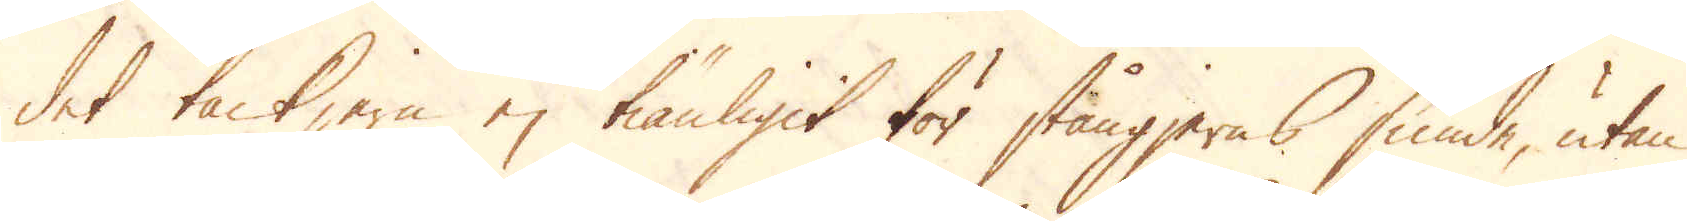det tackjern ej tiänligit för stångjerns smide, utan
